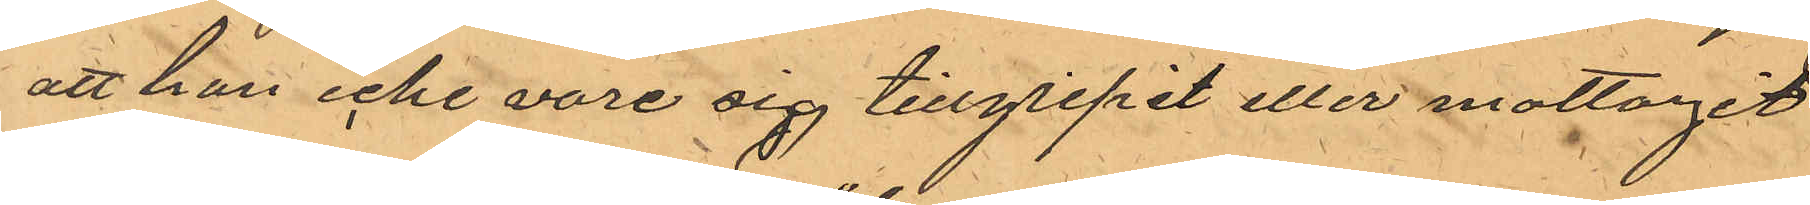att hon icke vare sig tillgripit eller mottagit
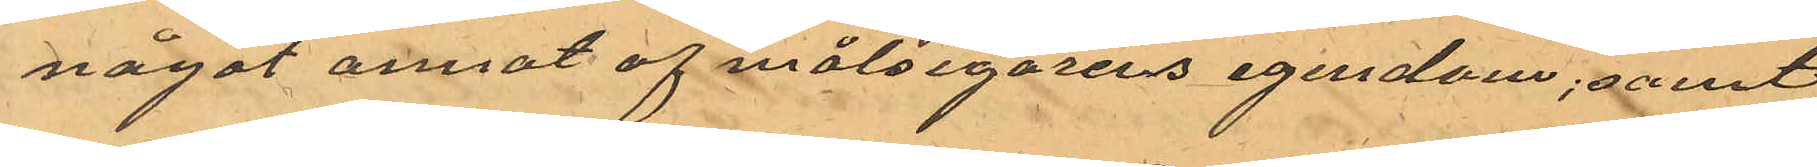något annat af målsegarens egendom; samt
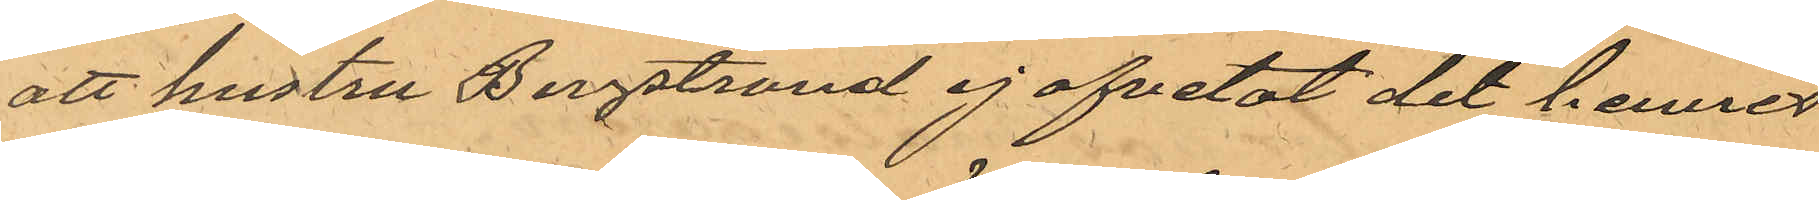att hustru Bergstrand ej afvetat det hennes
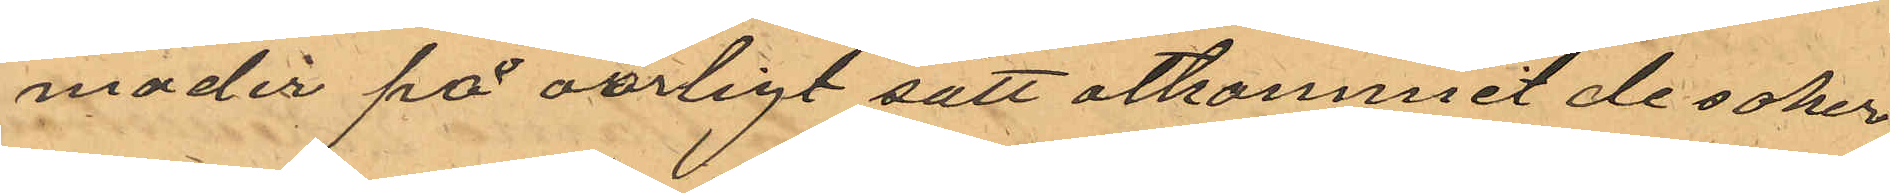moder på oärligt sätt åtkommit de saker
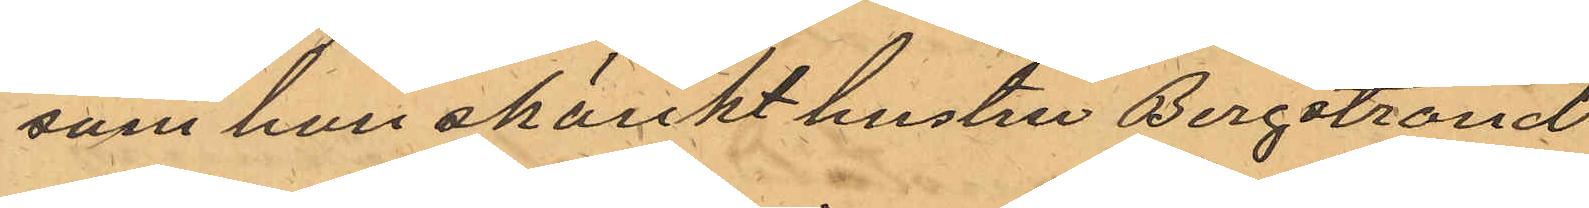som hon skänkt hustru Bergstrand
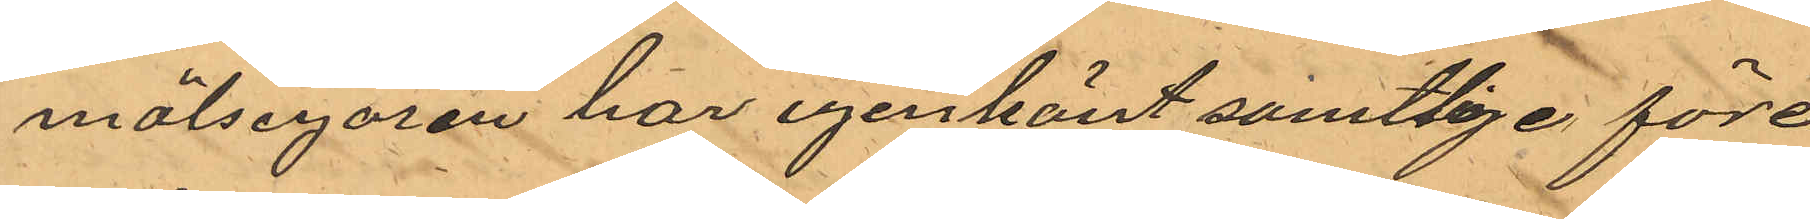målsegaren har igenkänt samtlige före¬
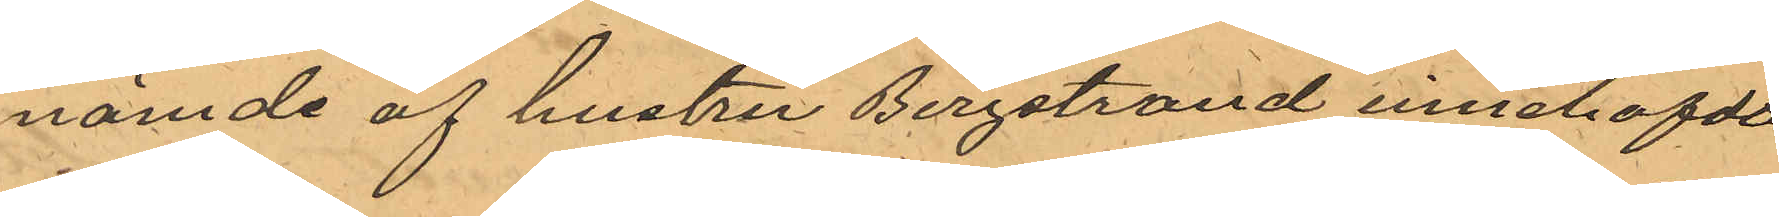nämde af hustru Bergstrand innehafde
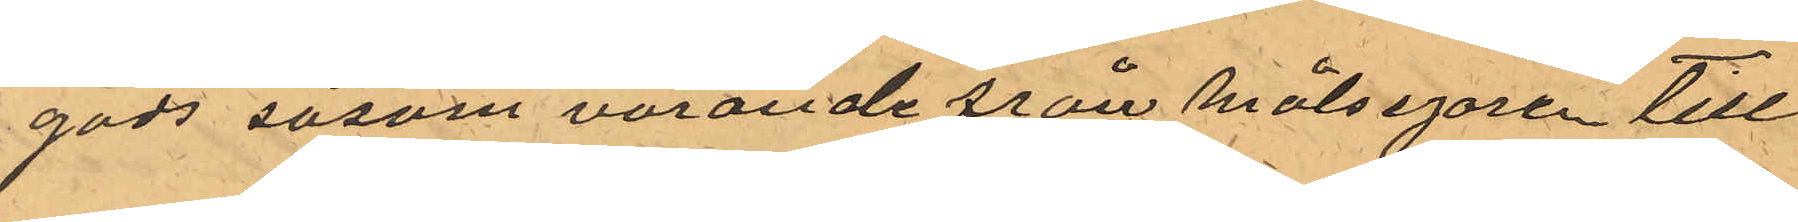gods såsom varande från målsegaren till¬
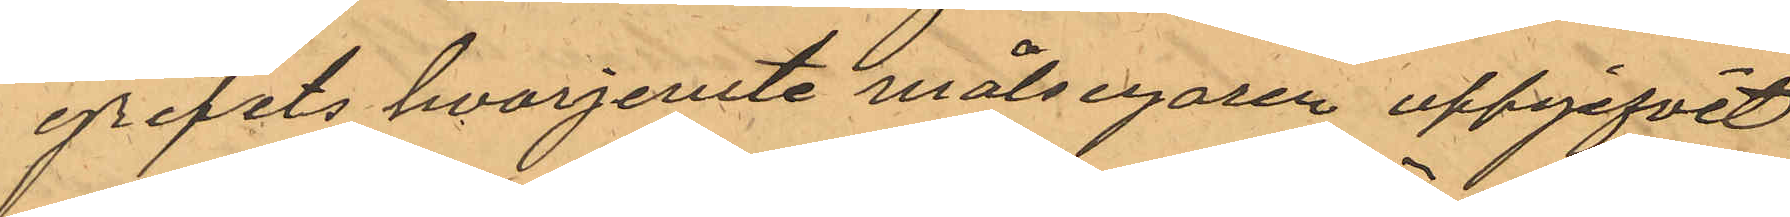gripits hvarjemte målsegaren uppgifvit
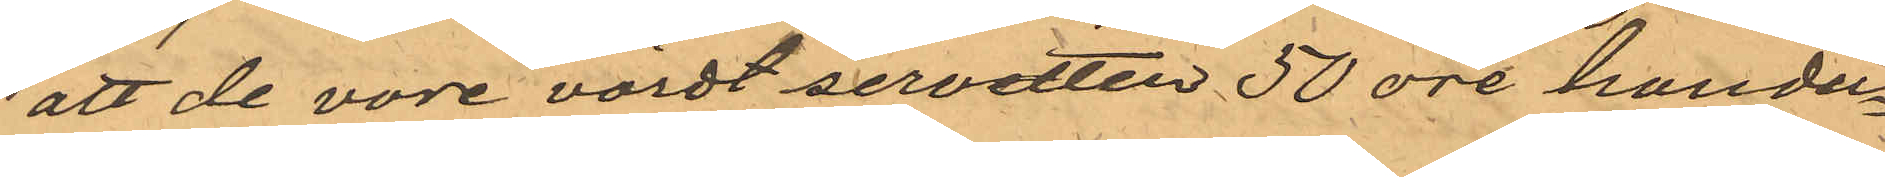att de vore värdt servetten 50 öre handu¬
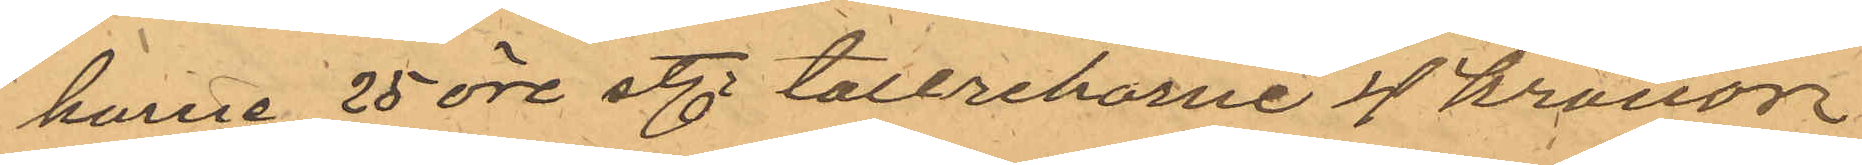karne 25 öre st. tallreckarne 4 kronor
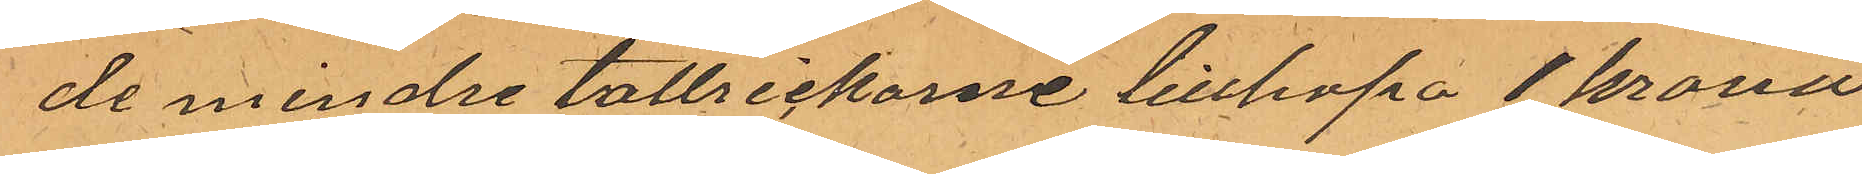de mindre tallrickarne tillhopa 1 krona
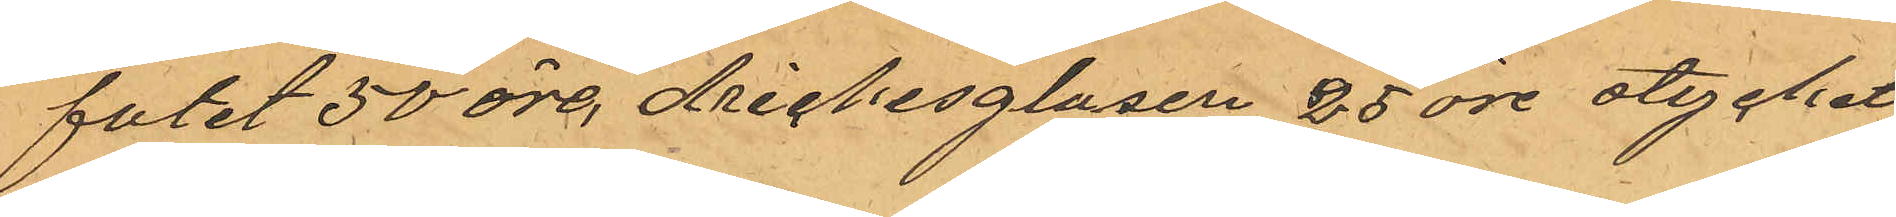fatet 50 öre drickesglasen 25 öre stycket
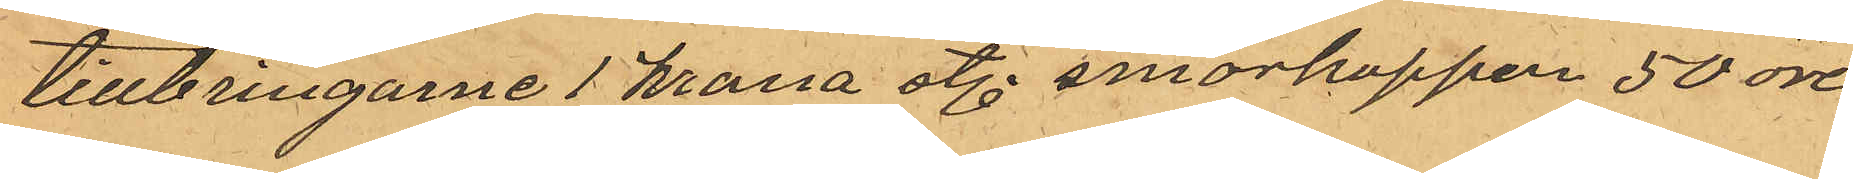tillbringarne 1 krona st. smorkoppen 50 öre,
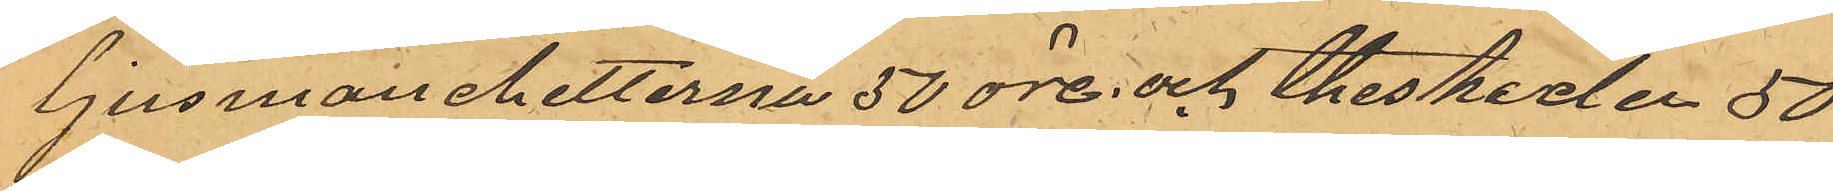ljusmanchetterna 50 öre och theskeden 50
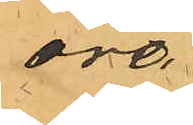öre.
